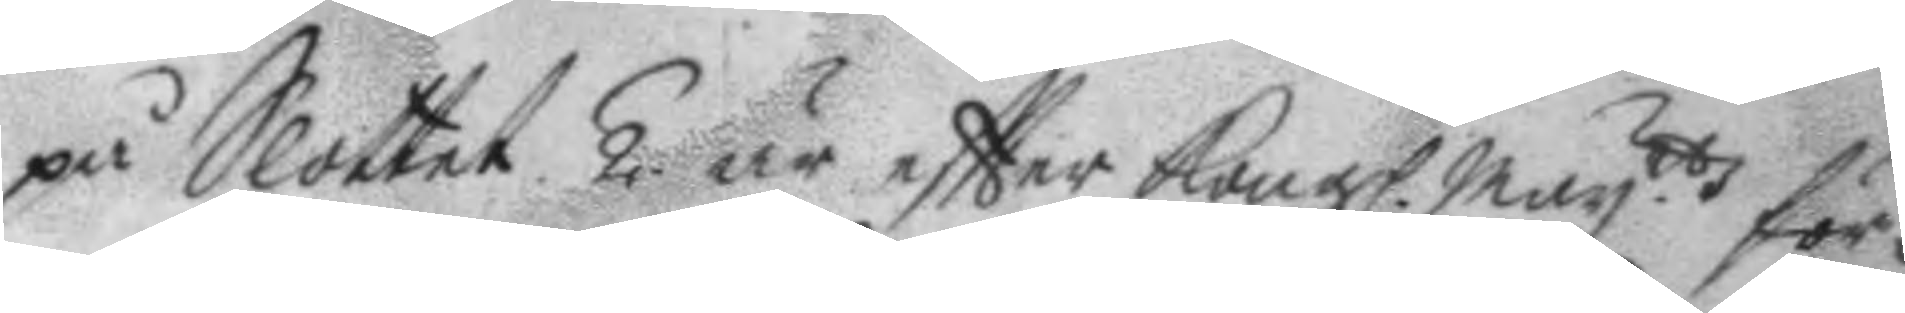på Slottet. 2. är eftter Kongl. May.ttz för¬
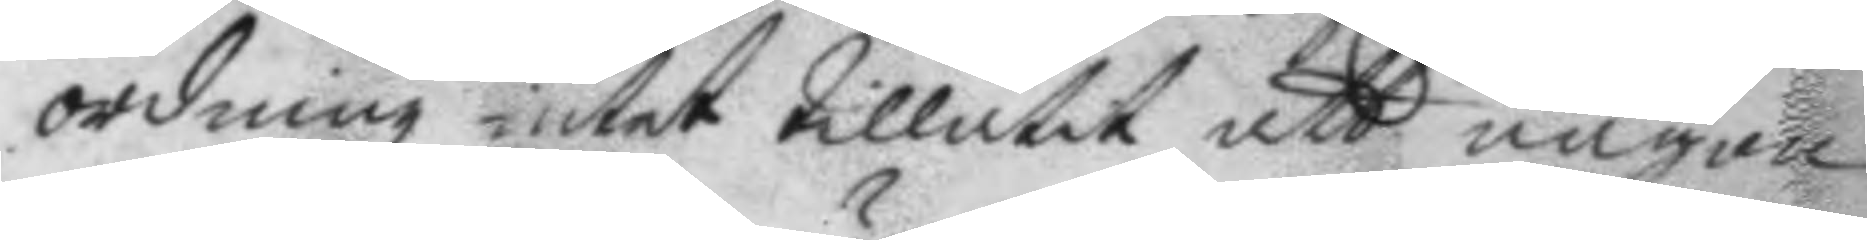ordning intet tillåtet att någon
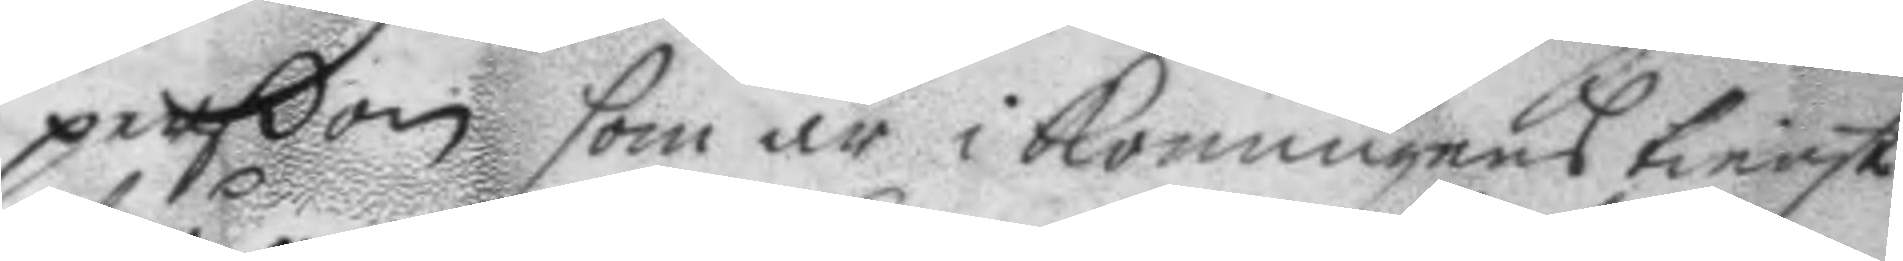perßon som är i konungens tienst
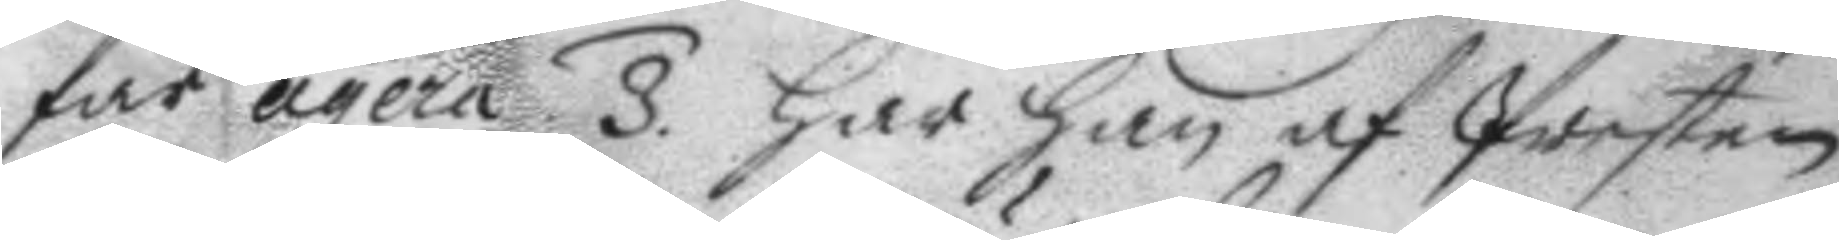får agera 3. har han af Presten
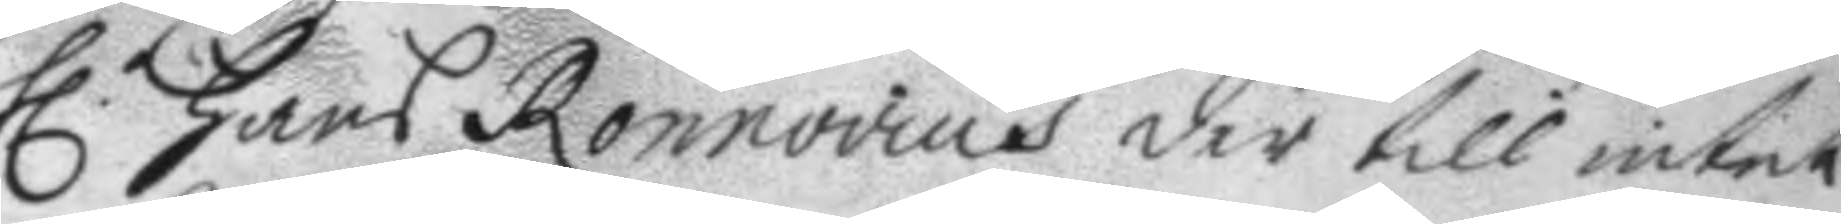h. hans Ronnovius der till intet
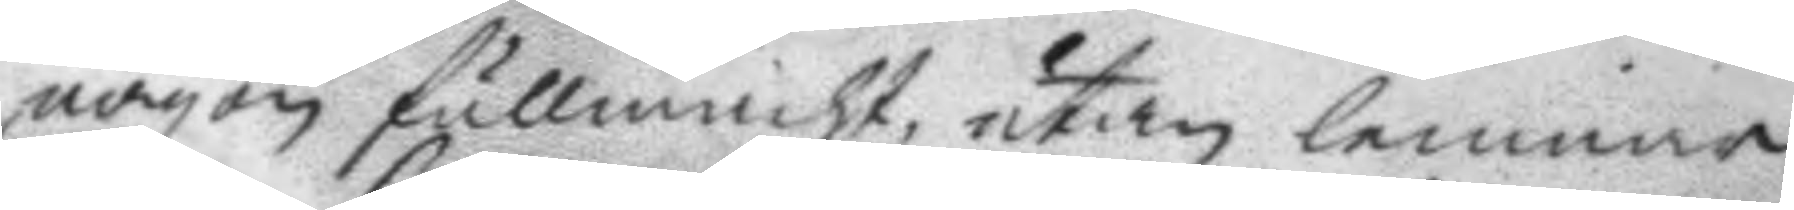någon fullmacht, utan lemnar
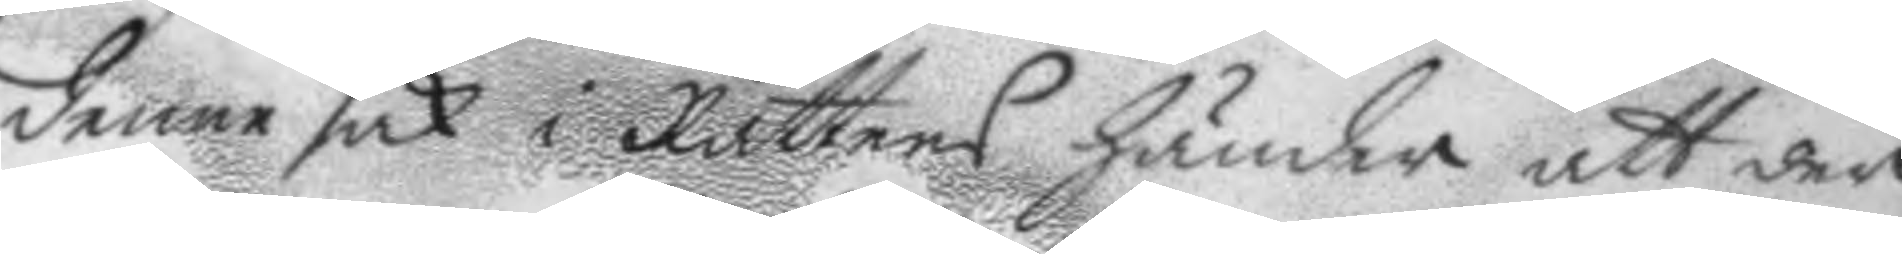denne sak i Rättens händer att der
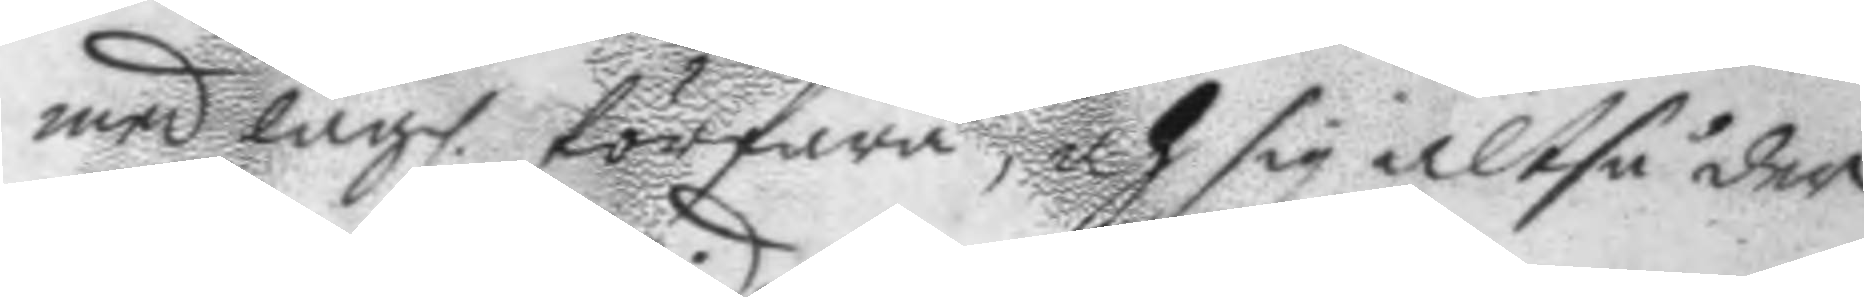med lagl. förfara, och sig altså der
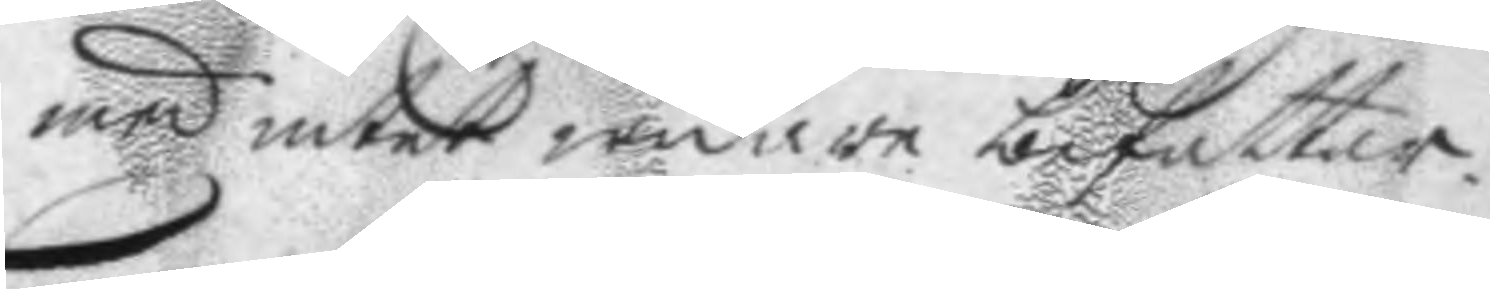med intet widare befatta.
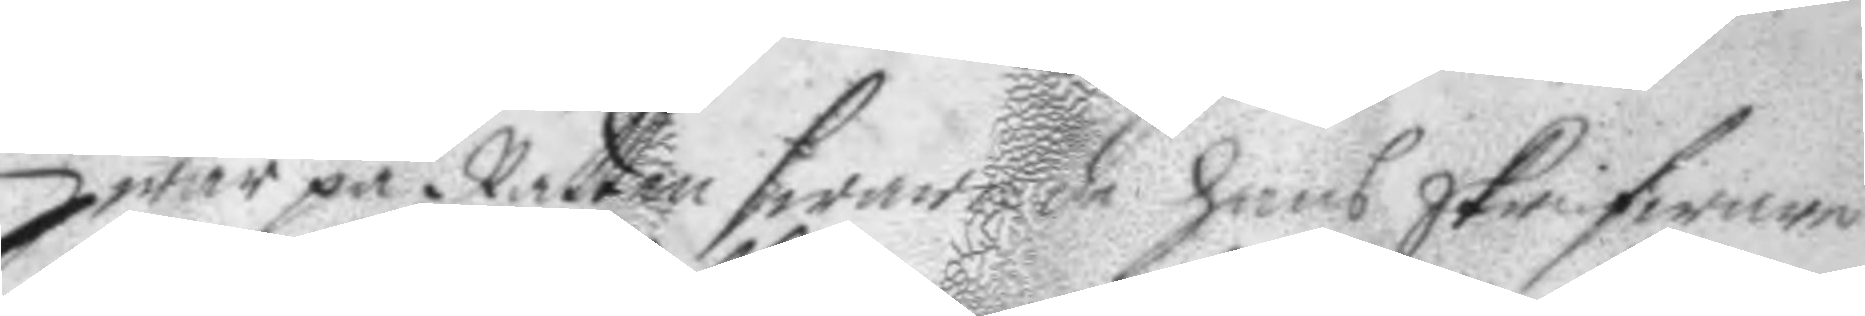hwar på Rätten swarade hans skrifware
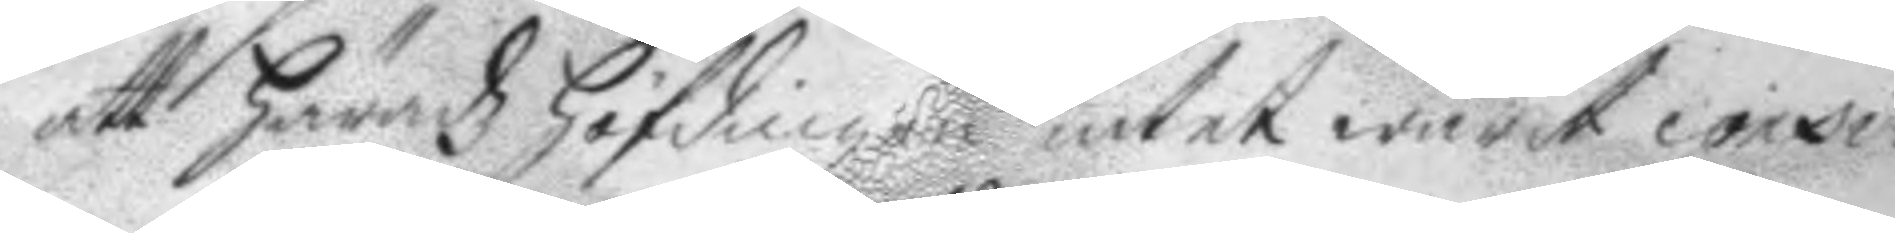att häradz höfdingen intet warit consi¬
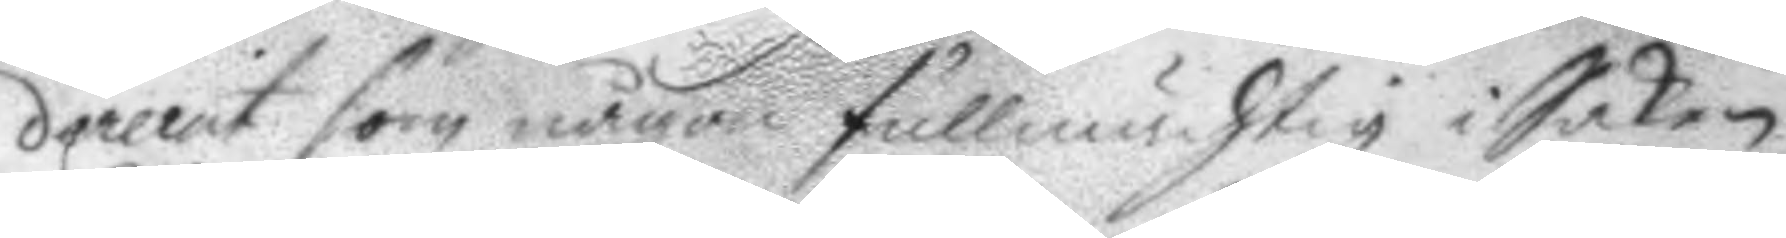derat som någon fullmächtig i Saken,
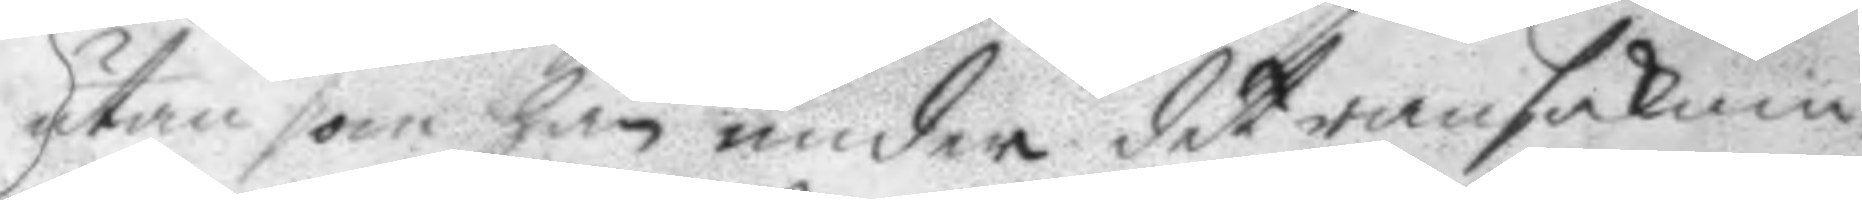utan som han under det ransaknin¬
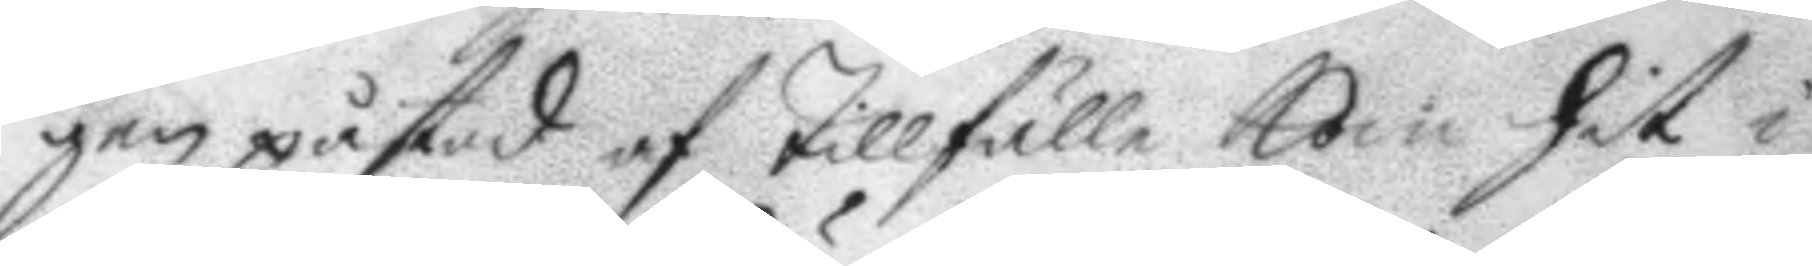gen påstod af tillfälle kom hit i
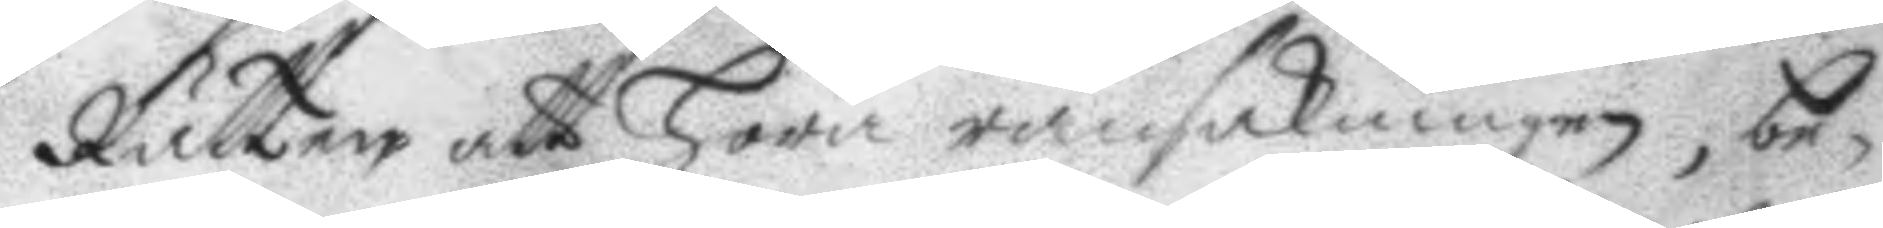Rätten att höra ransakningen, be¬
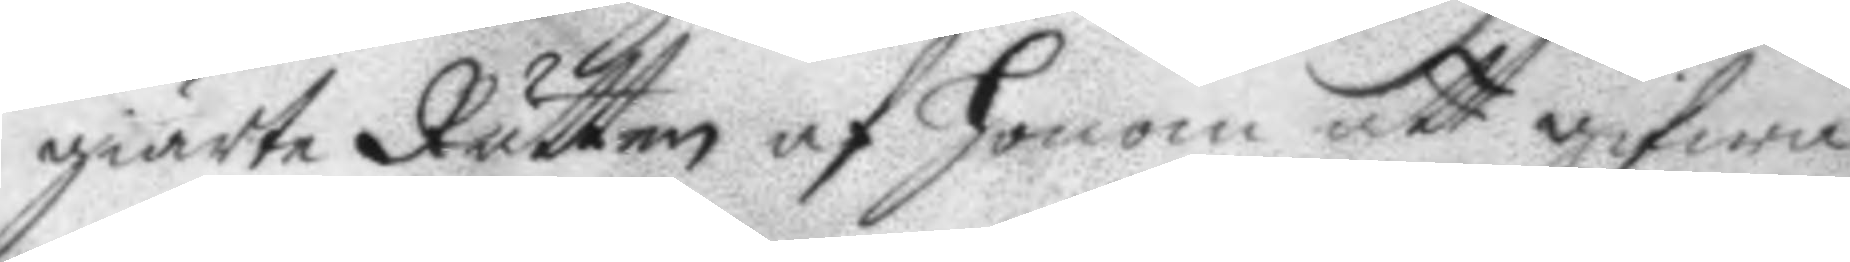giärte Rätten af honom att gifwa
